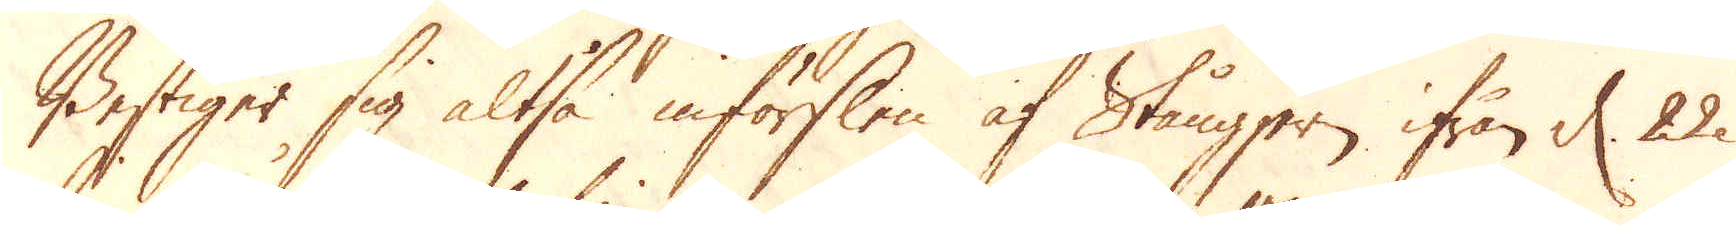Bestiger sig altså införslen af Stångjern ifrån d. 22
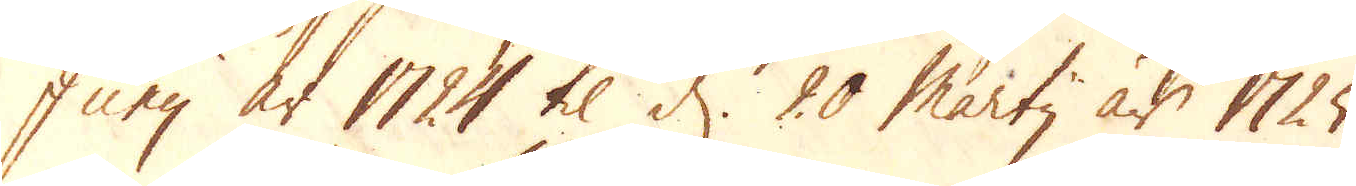Junij år 1724 til d. 20 Martij år 1725.
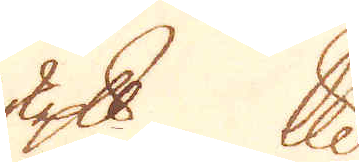skeppund lispund
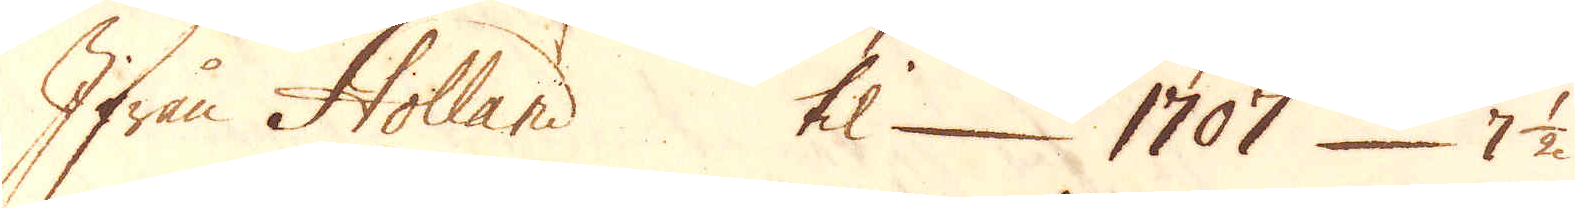Ifrån Holland  til. 1707 7 1/2
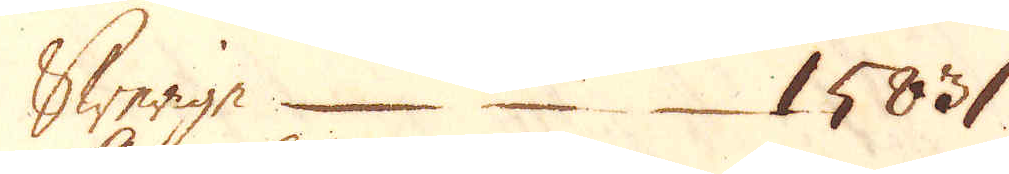Swerige 15831
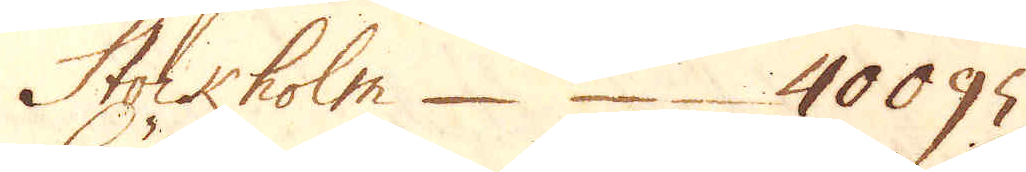Stockholm 40095
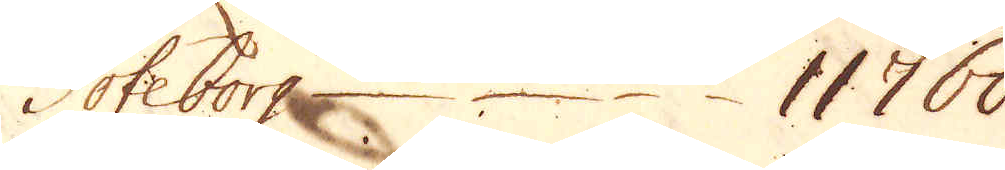Göteborg 11760
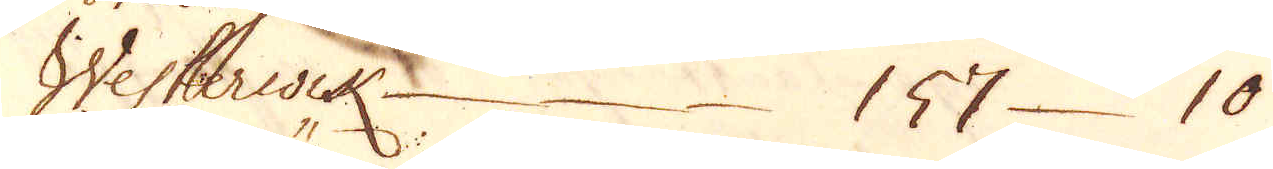Westerwik 157 10
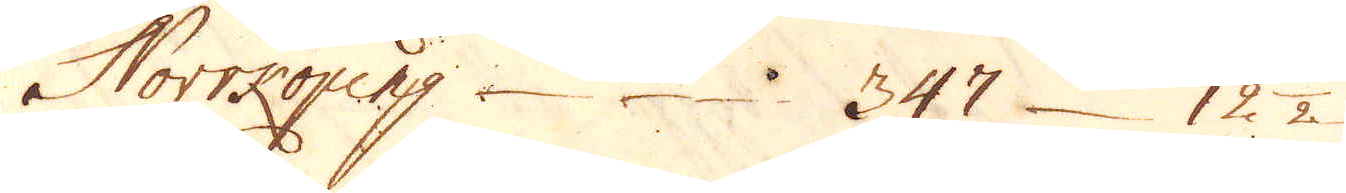Norrköping 347 12 1/2
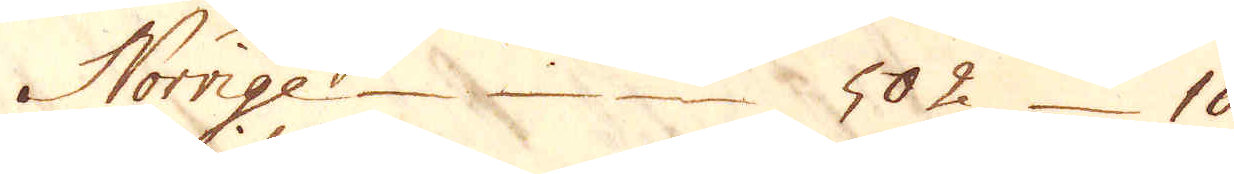Norrige 502 10
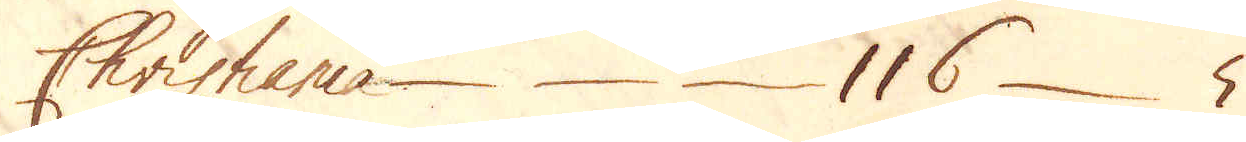Christiania 116 5
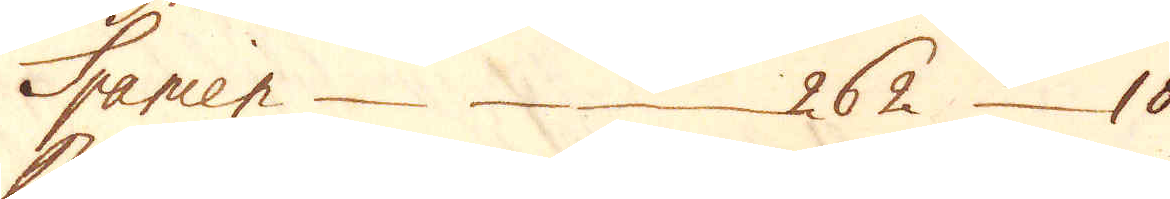Spanien 262 10
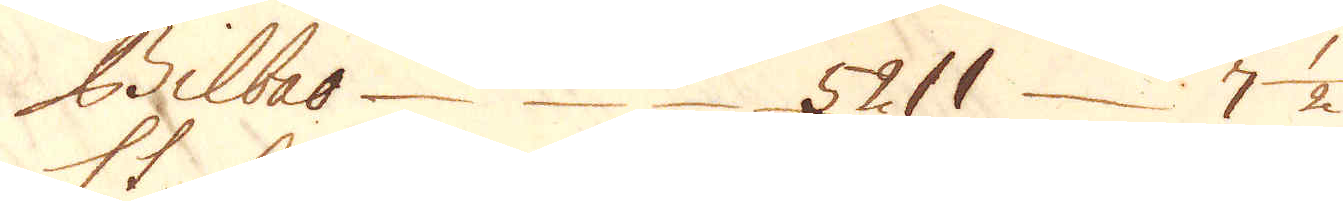Bilbao 5211 7 1/2
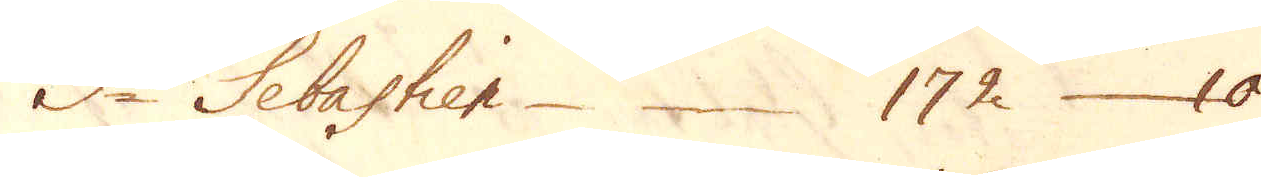S:t Sebastien 172 10
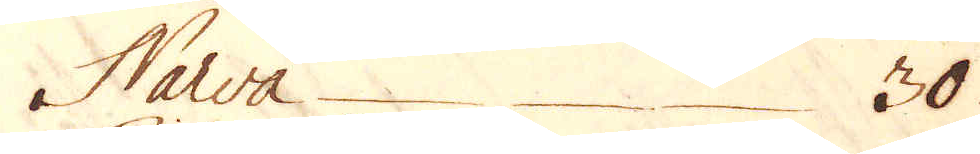Narva 30
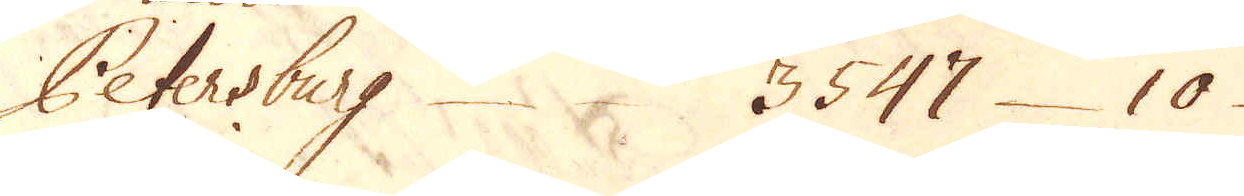Petersburg 3547 10
